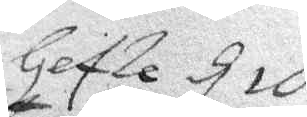Gefle d 10
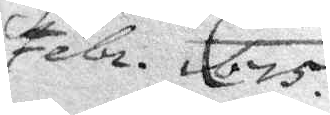Febr. 675.
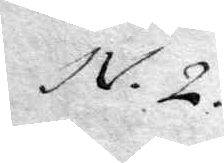N. 2.
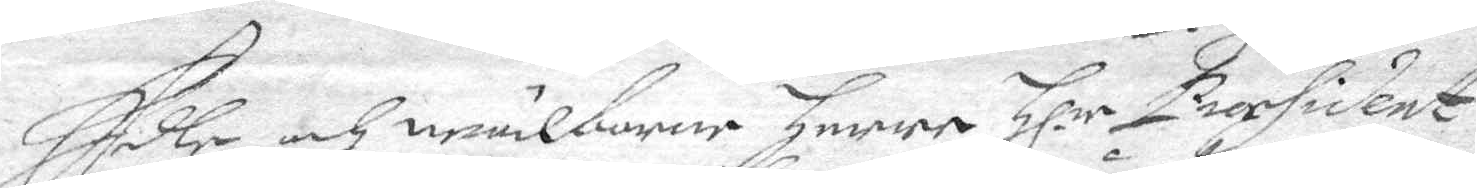Edle och wälborne Herre Hl.r President
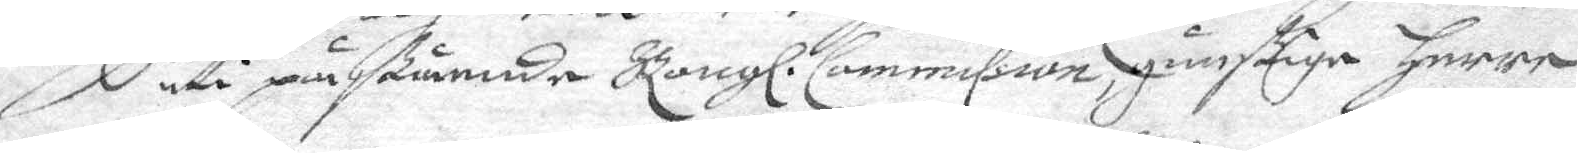 uti påßtående Kongl: Commission, gunstige Herre.
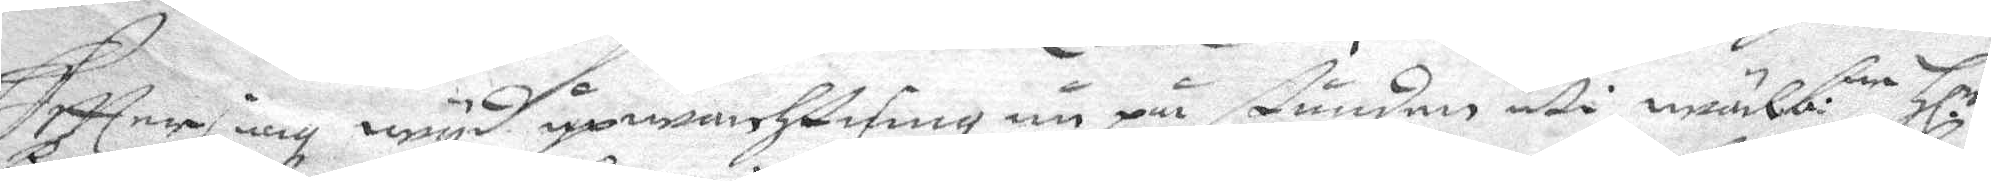Eftter iag wyd upwachtning nu pår stunden uti wälb:e Hl.r
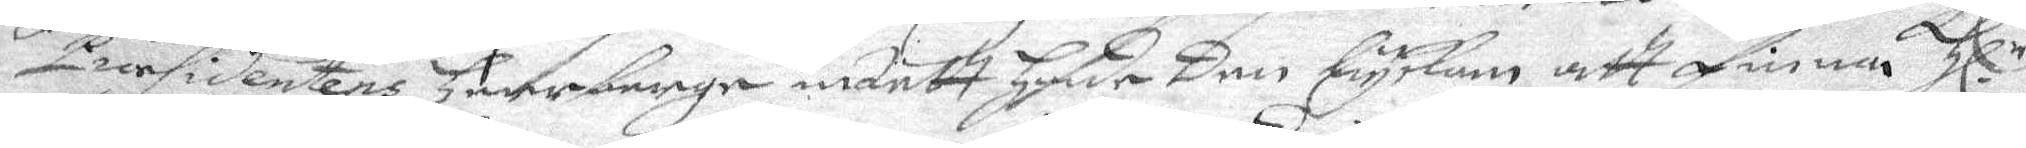Presidentens Herrberge intett hade den lyckan att finnar Hl.r
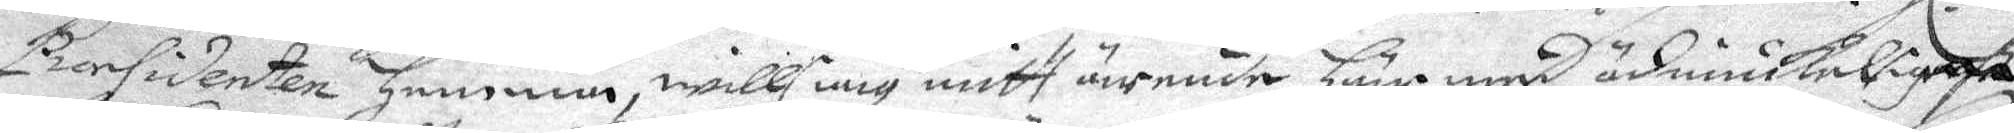Presidenten Hemma, will iag mitt ärende här med ödmiukeligast
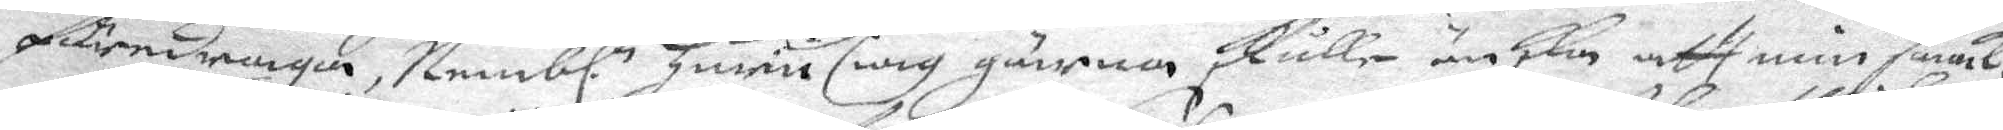föredraga, Nembl. Huru iag gärna skulle önska att min saak, 
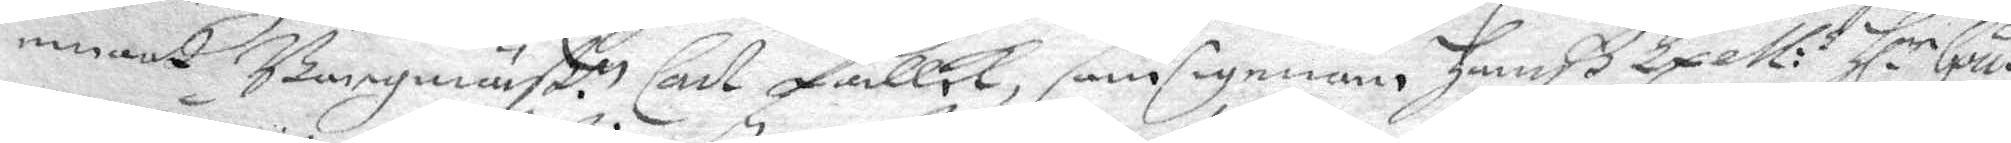emot Borgmänß.n Carl Fallck, samsigenan, Hanß Exell:s Hl:r Gou¬
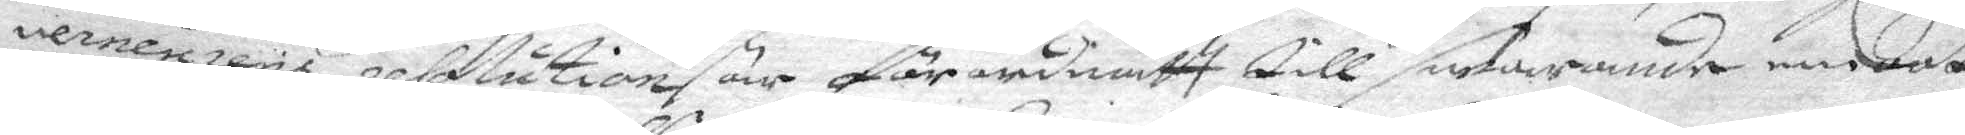verneurens resolution är förordnatt till, swarande emot
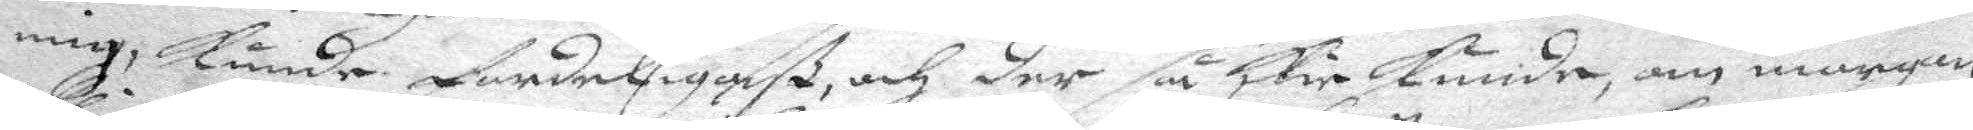mig, kunde fordeligaß, och der så skie Kunde, om morgon
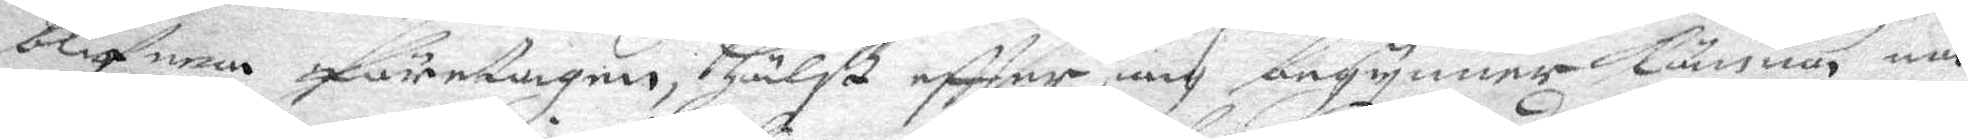blifwen företagen, hälst eftter iag begynner kunna nå¬
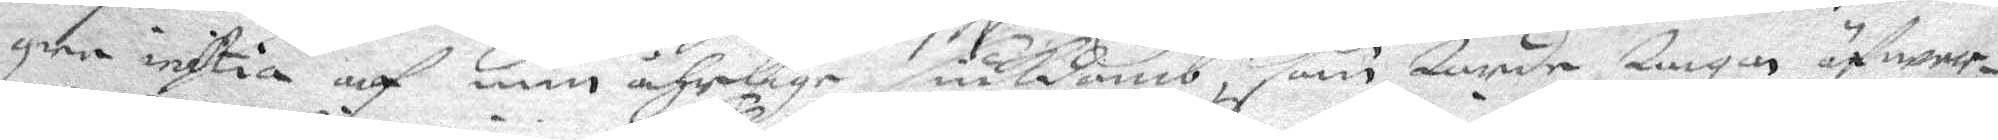gre instia af min åhrlige siukdomb, som torde taga öfwer¬
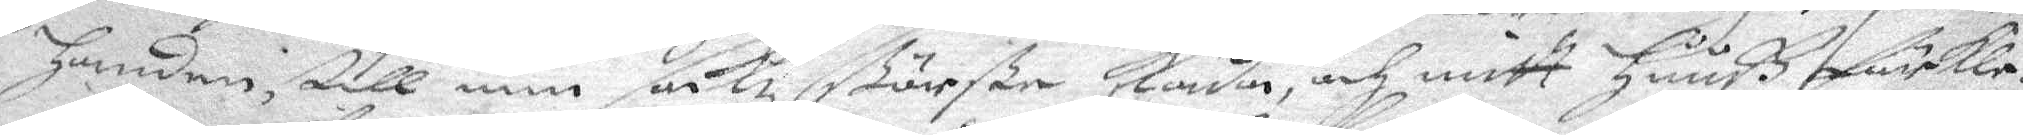handen, till min, sakz störste skada, och mitt Huuß förKle¬
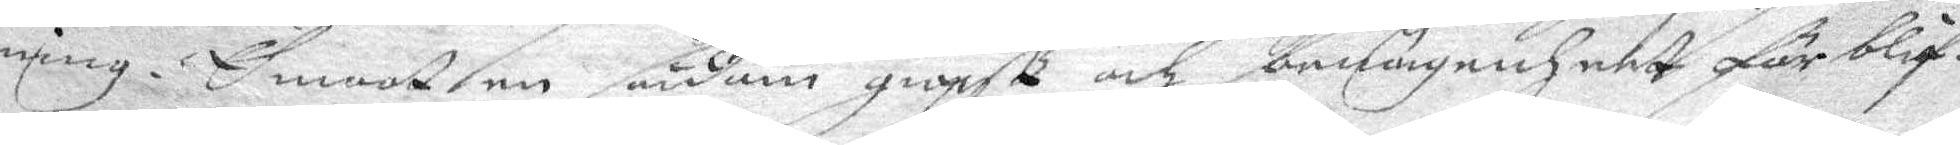ning. Emoot en sådan giopst och benägenheet förblif¬
